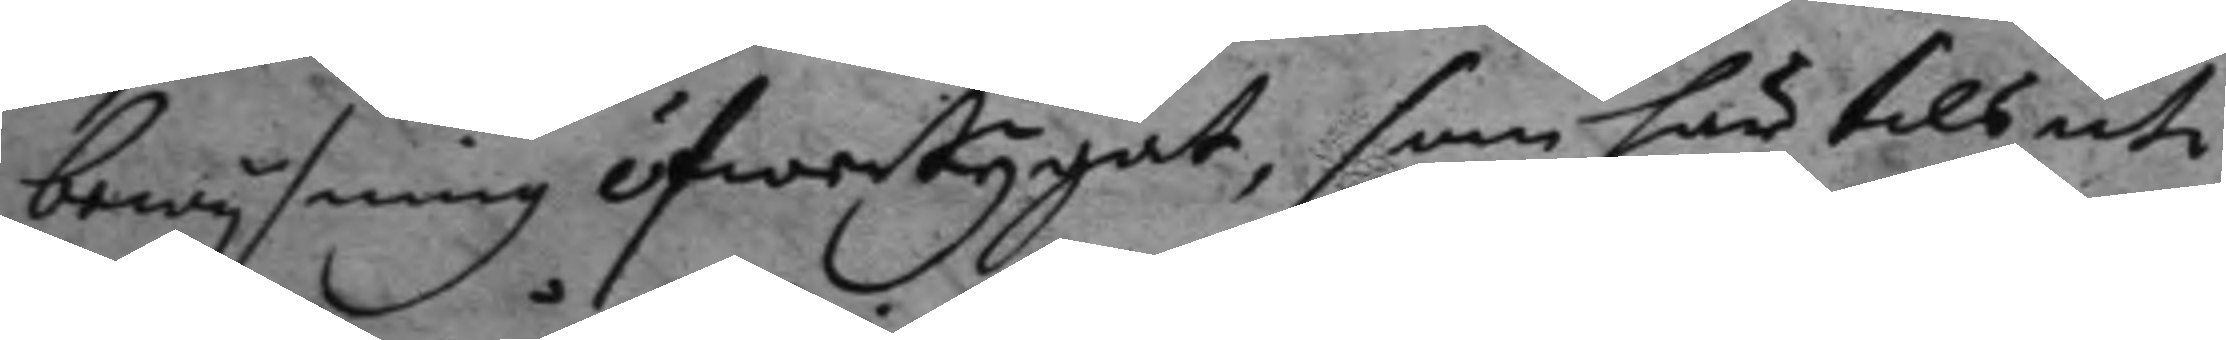bewysning öfwertygat, som här tils uti
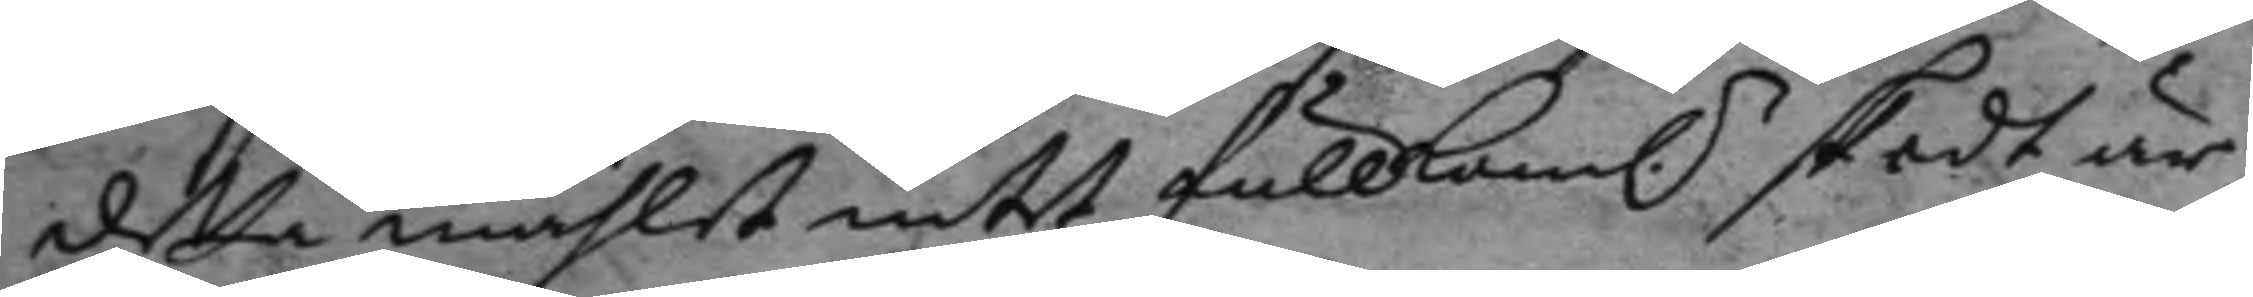detta måhlet intet fullkoml.n skedt är;
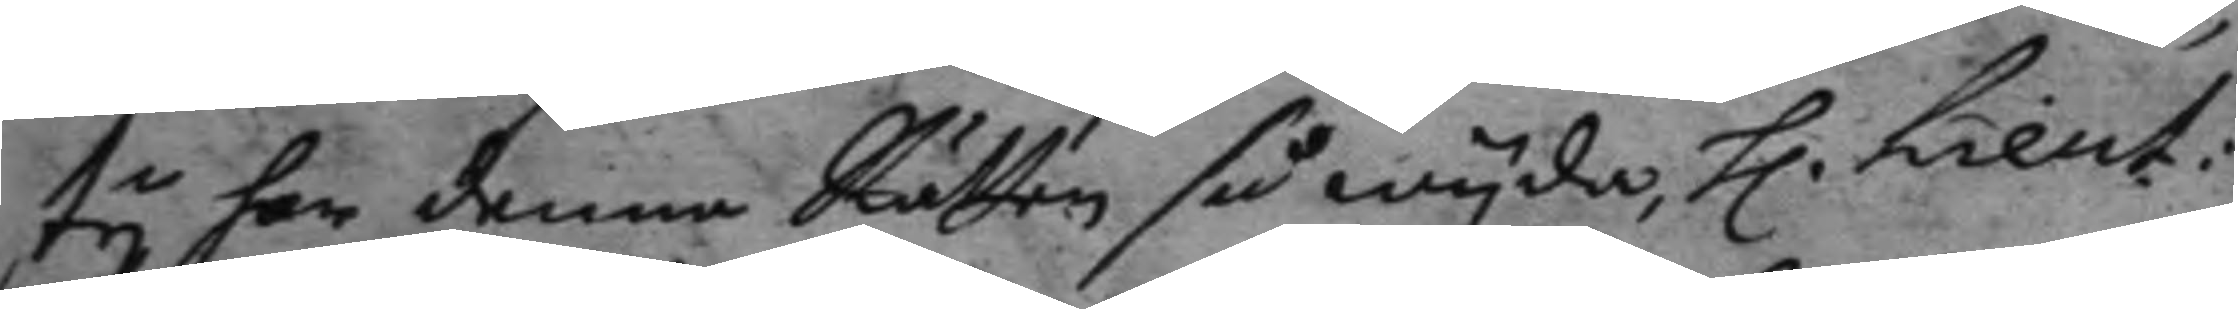ty har denne Rätten så wyda, h. Lieut:
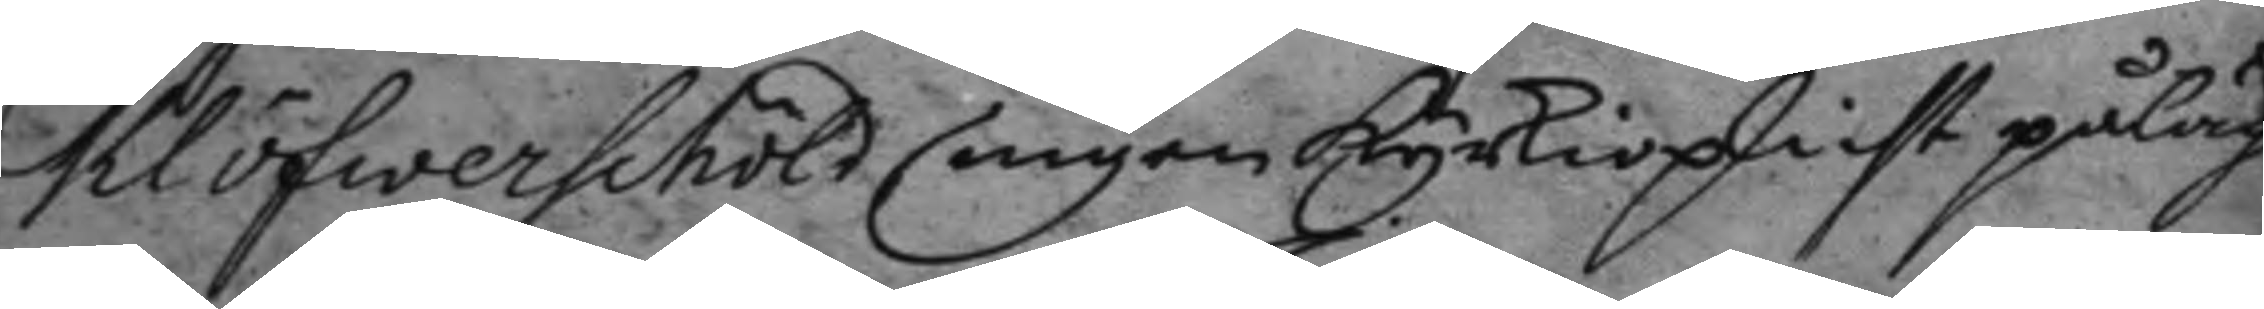Clöfwerschöld ingen kyrkioplicht påläg¬
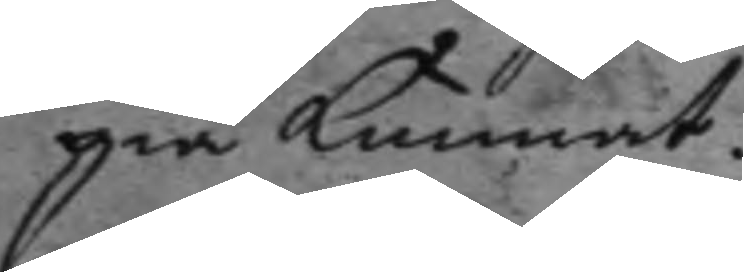gia kunnat.
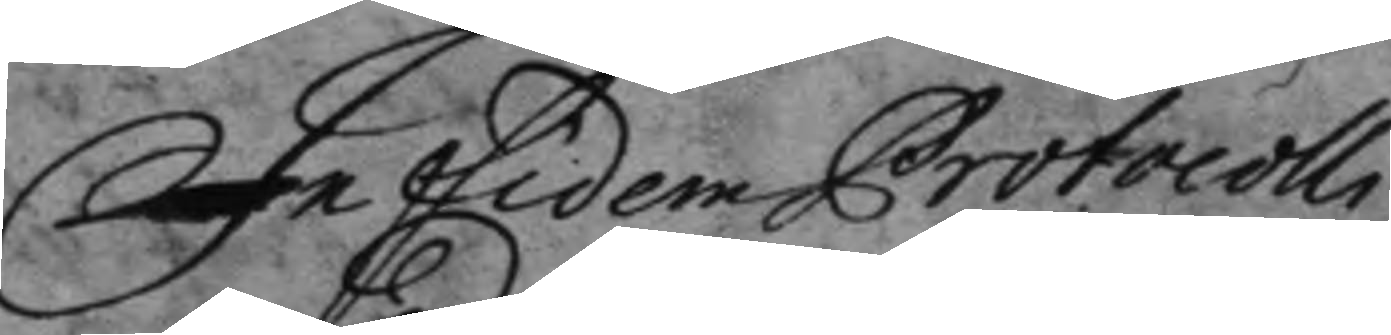In fidem Protocolli
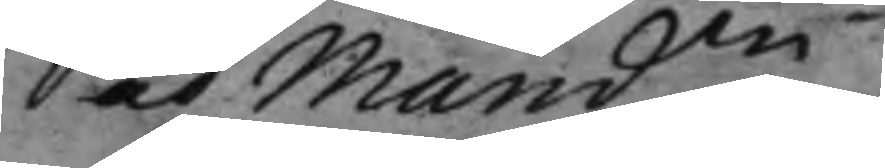ad mand.en
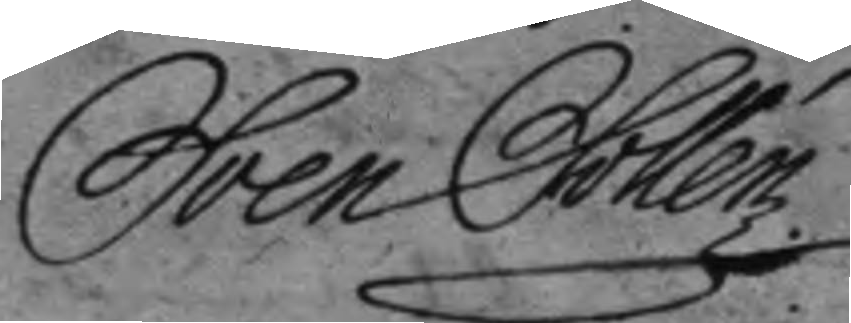Sven Collén.
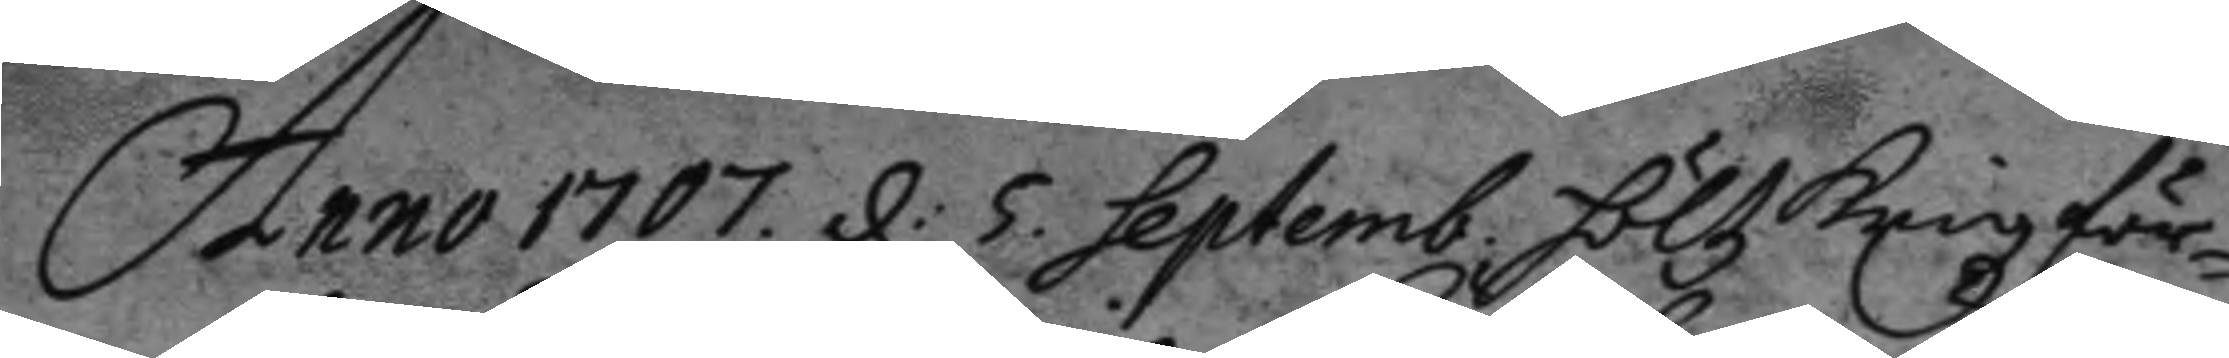Anno 1707. d: 5. Septemb. höltz Krigzför¬
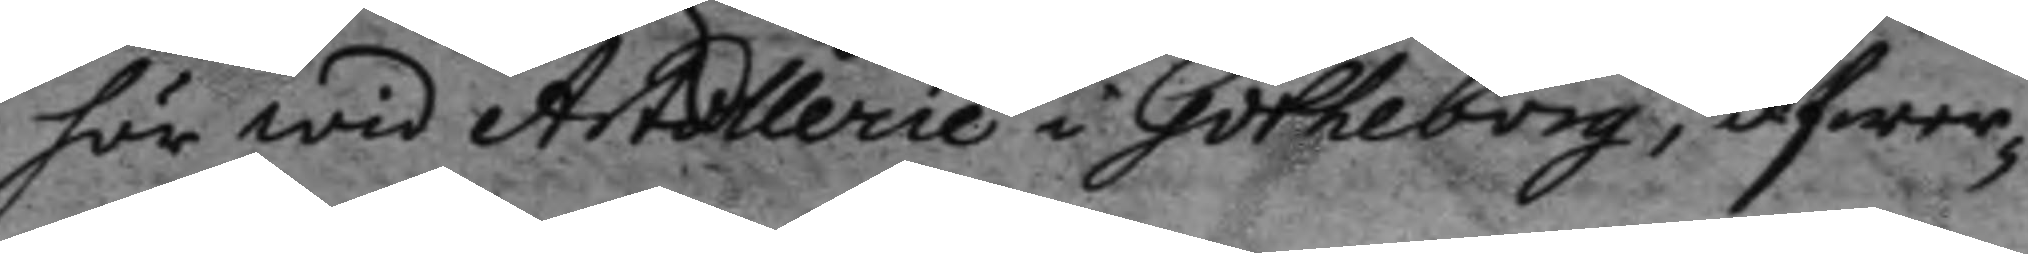hör wid Artollerie i Götheborg, öfwer¬
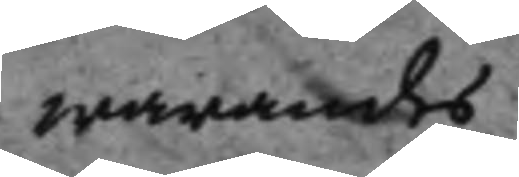warandes
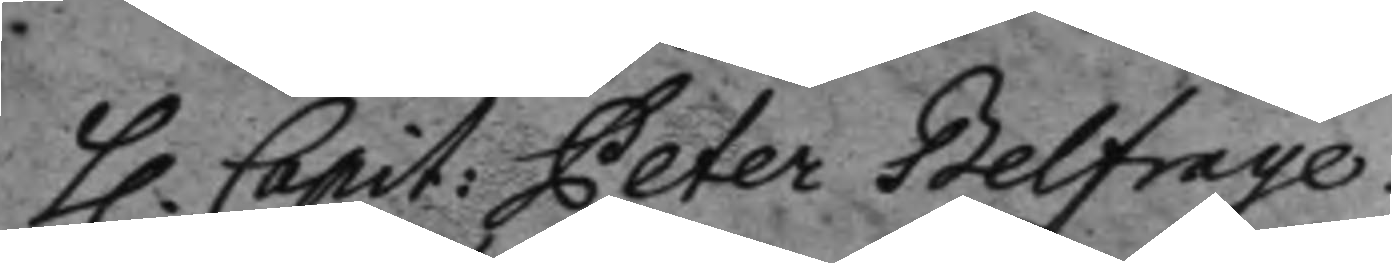h. Capit: Peter Belfrage
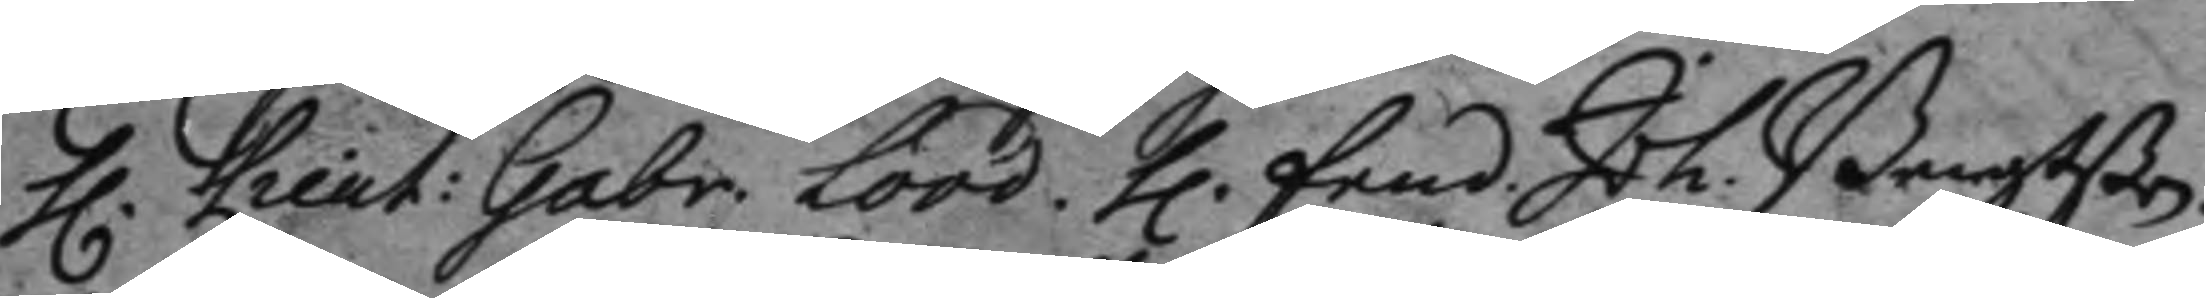h. Lieut: Gabr. Lood. h. fend. Joh. Bengtßon
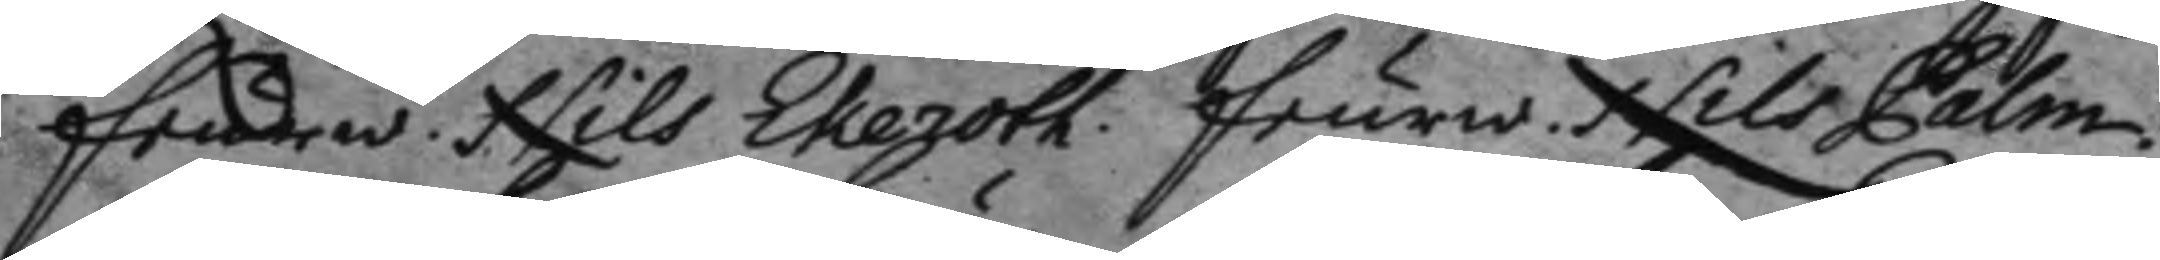feurw. Nils Ekeroth. feurw. Nils Palm.
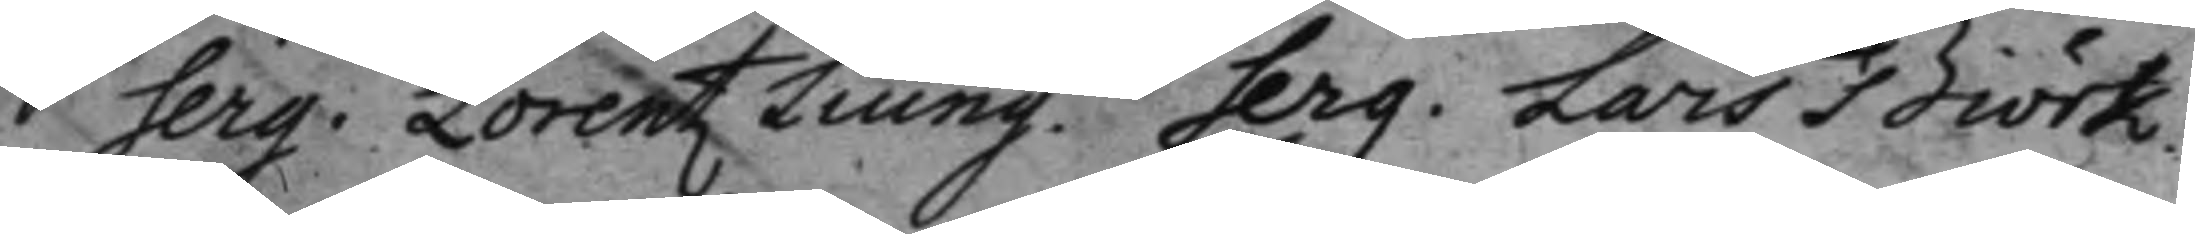Serg. Lorentz Liung. Serg. Lars Biörk.
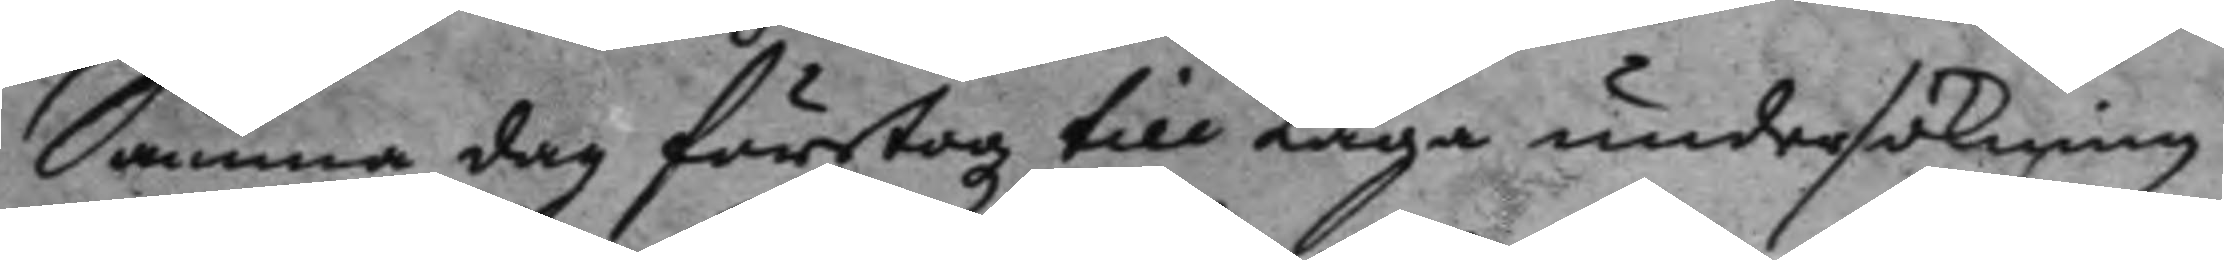Samma dag företogz till Laga undersökning
